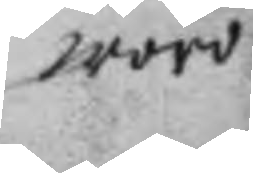wore
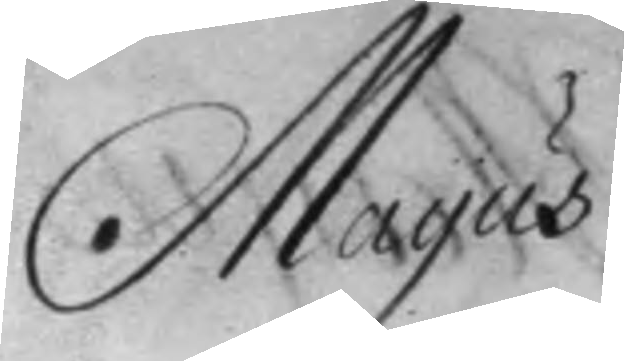Mayus
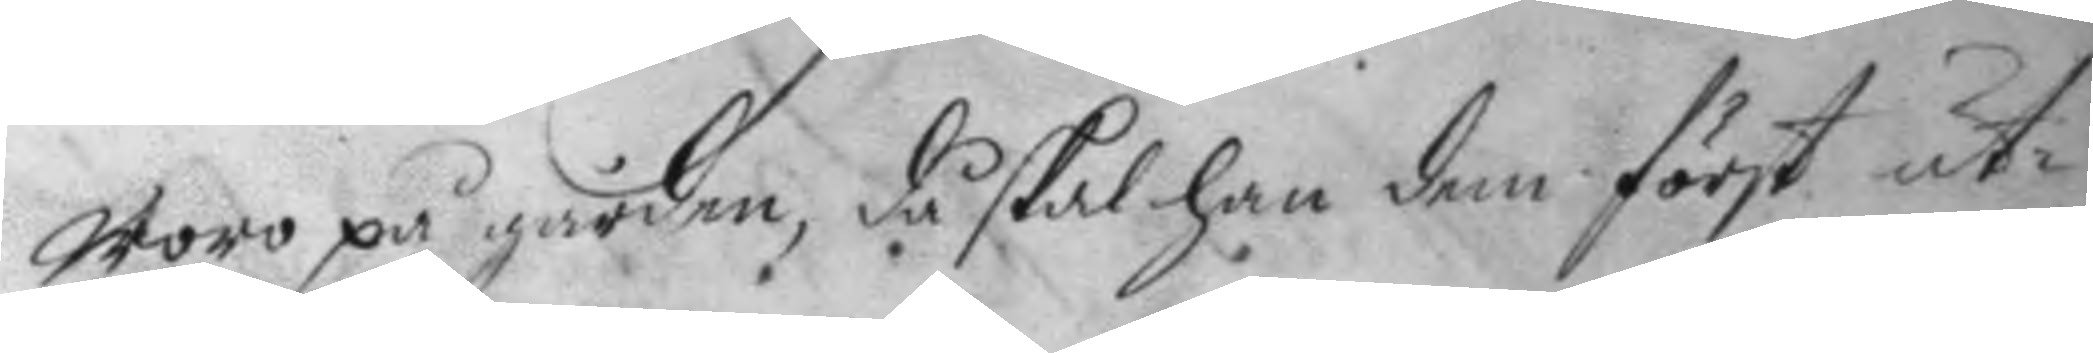woro på gården, då skal han dem först ut¬
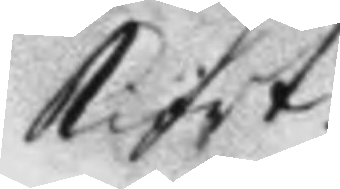kiört.
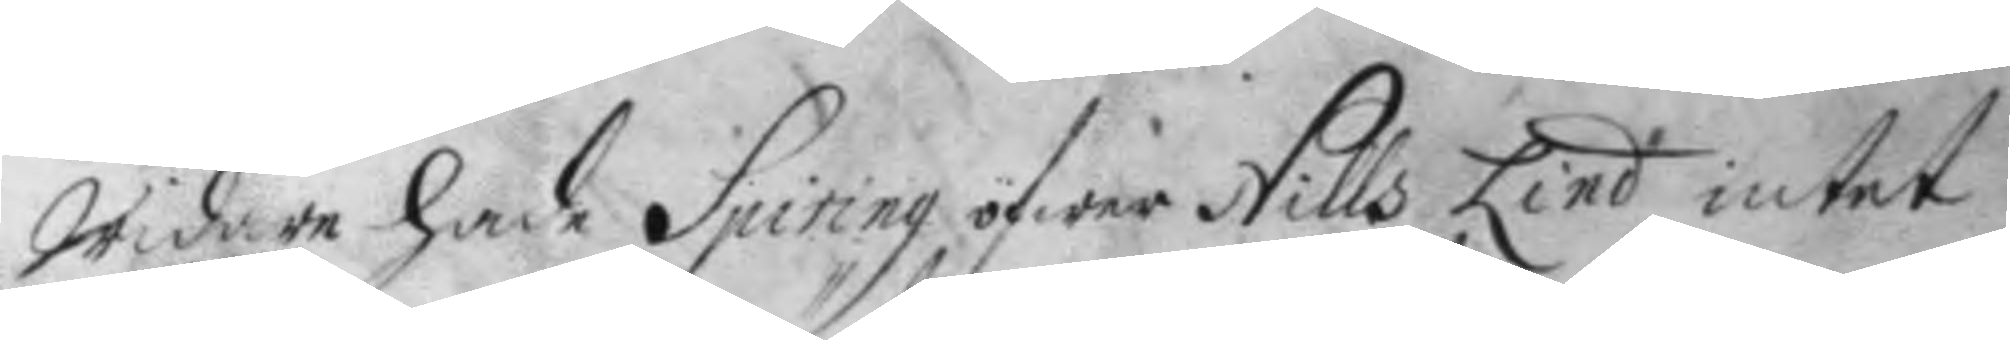Widare hade Spiring öfwer Nills Lind intet
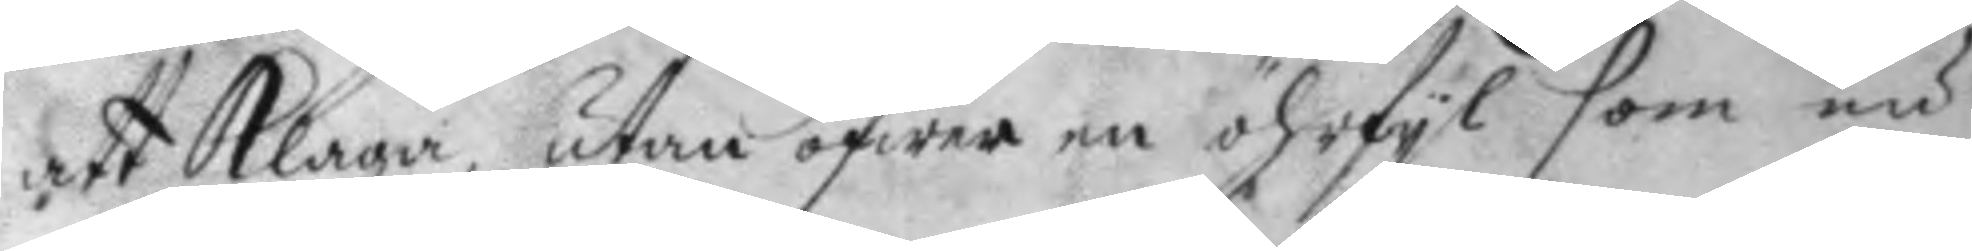att klaga, utan öfwer en öhrfyl som nu
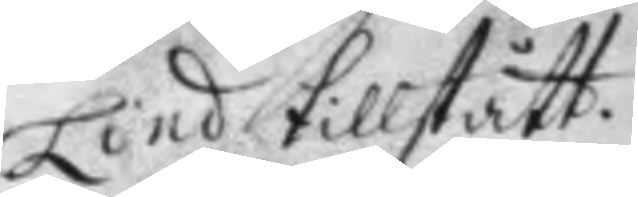Lind tillstått.
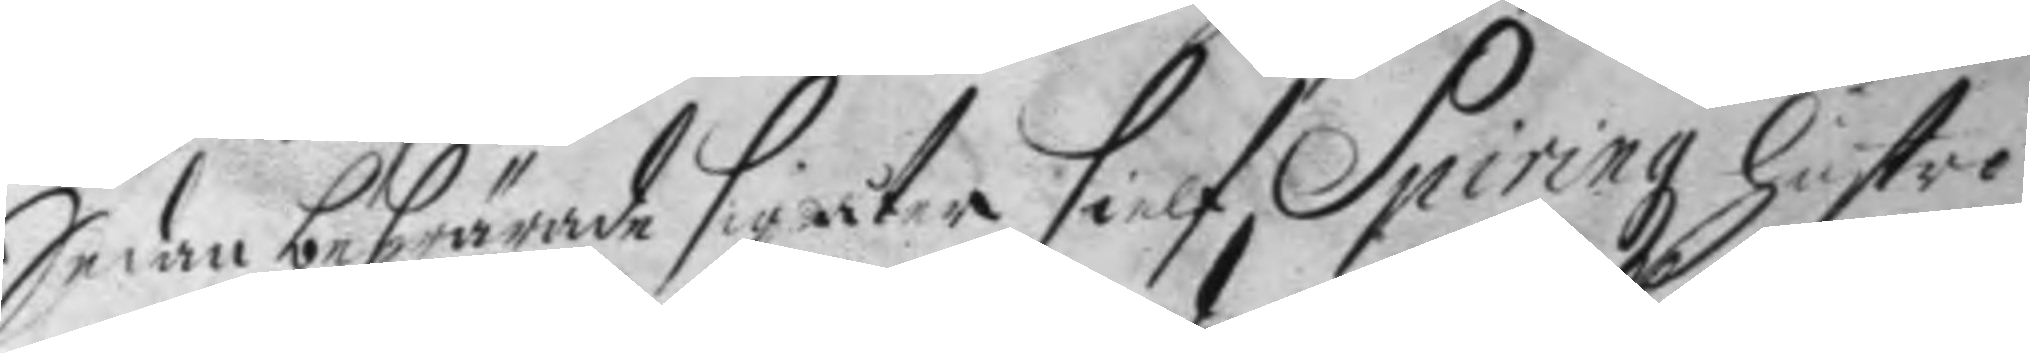Sedan beswärade sig åter sielf Spiring hustro
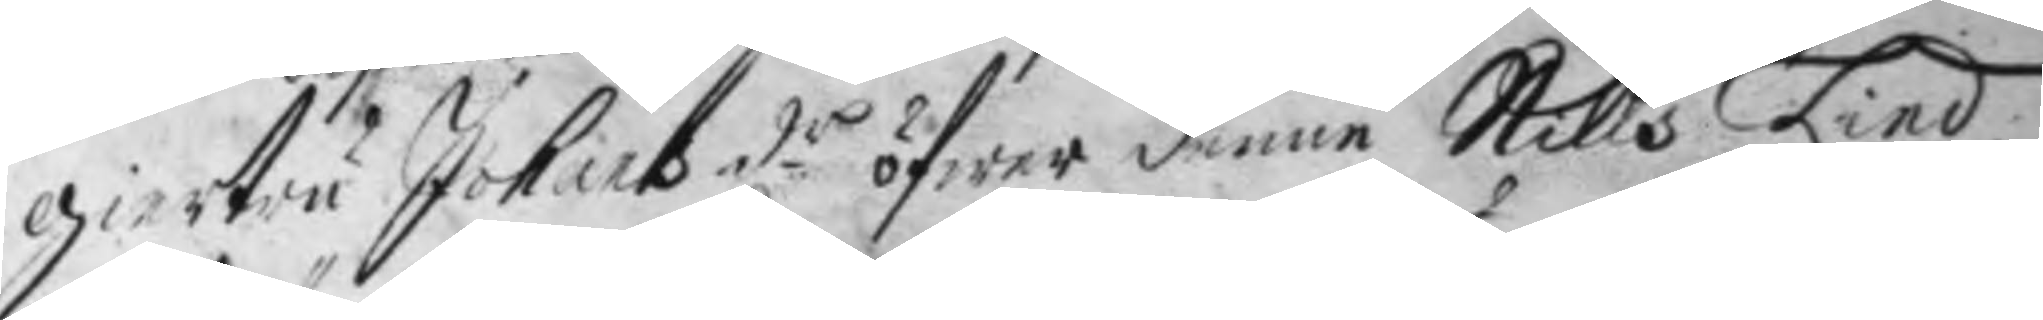giertru Johans d.r öfwer denne Nills Lind
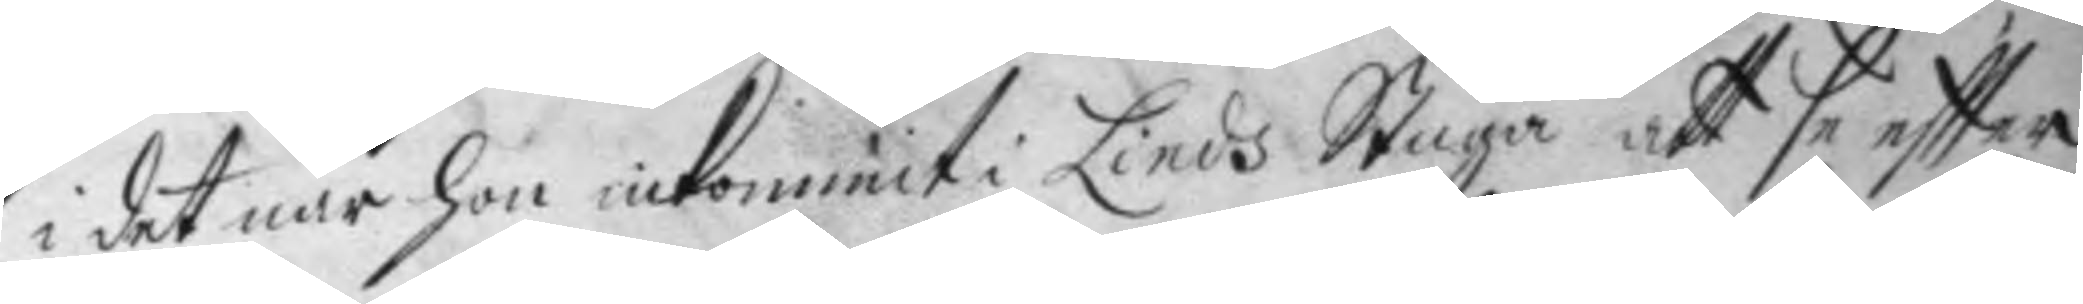i det när hon inkommit i Linds Stugu att se eftter
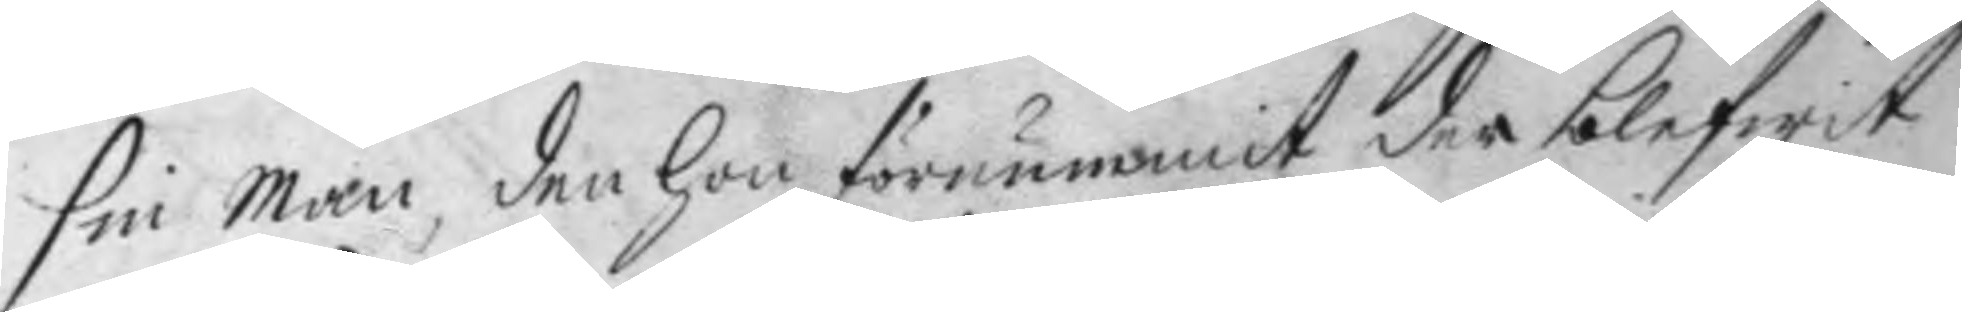sin man den hon förnummit der blefwit
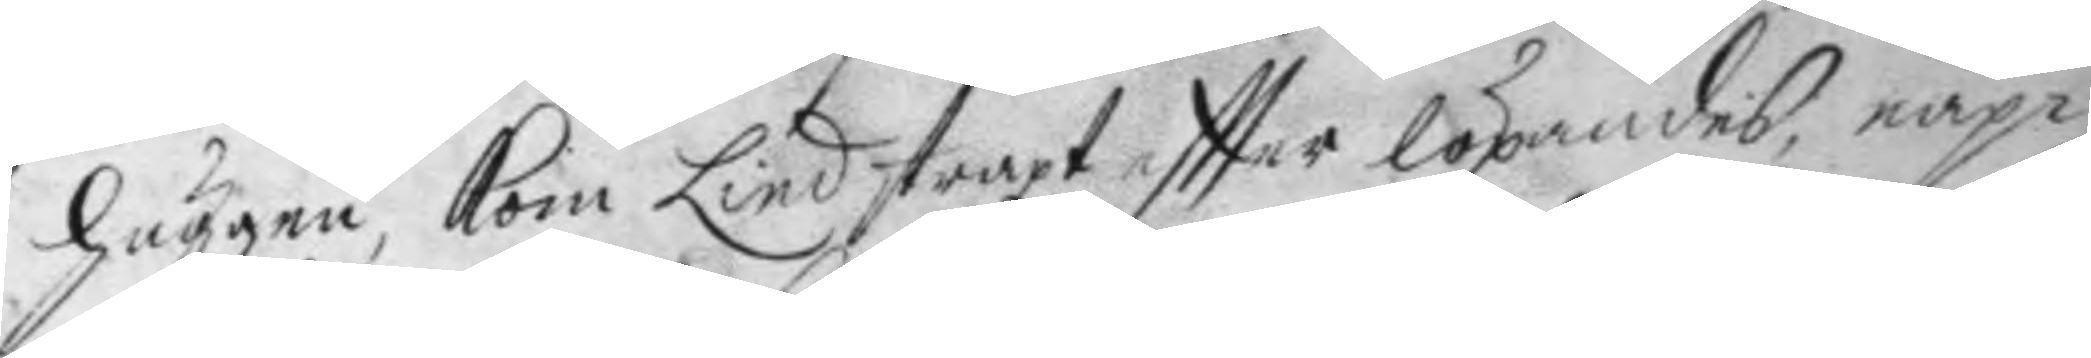huggen, kom Lind straxt eftter löpandes, nap¬
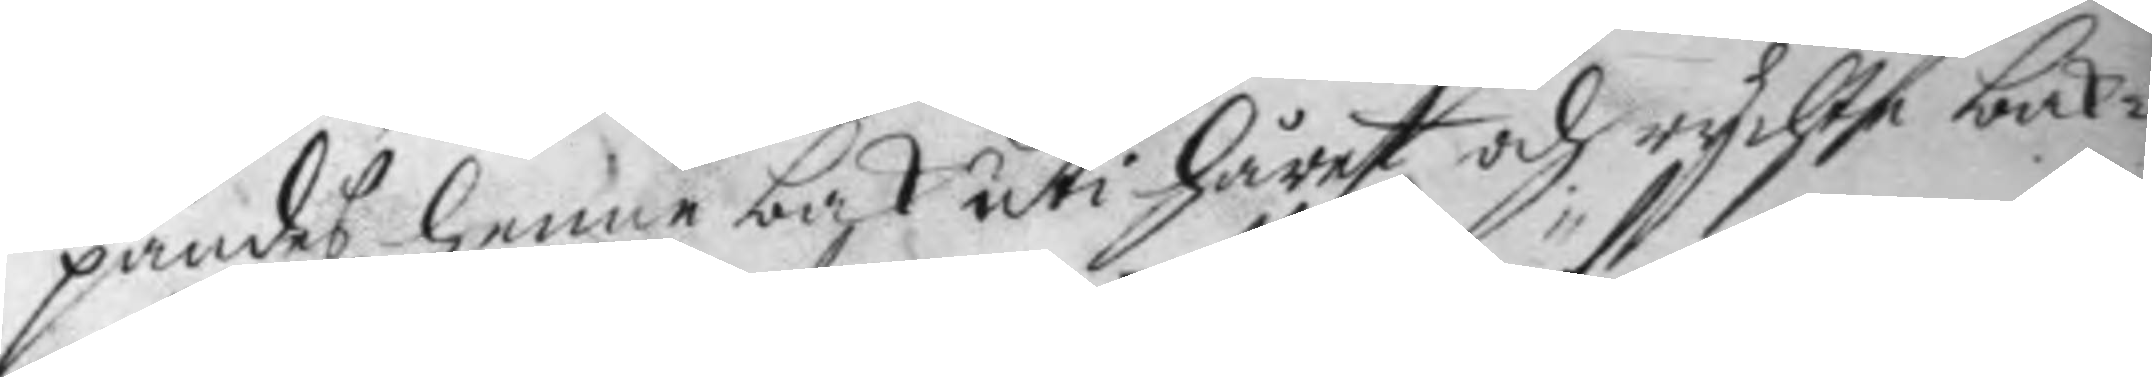pandes henne bak uti håret och rychte bak¬
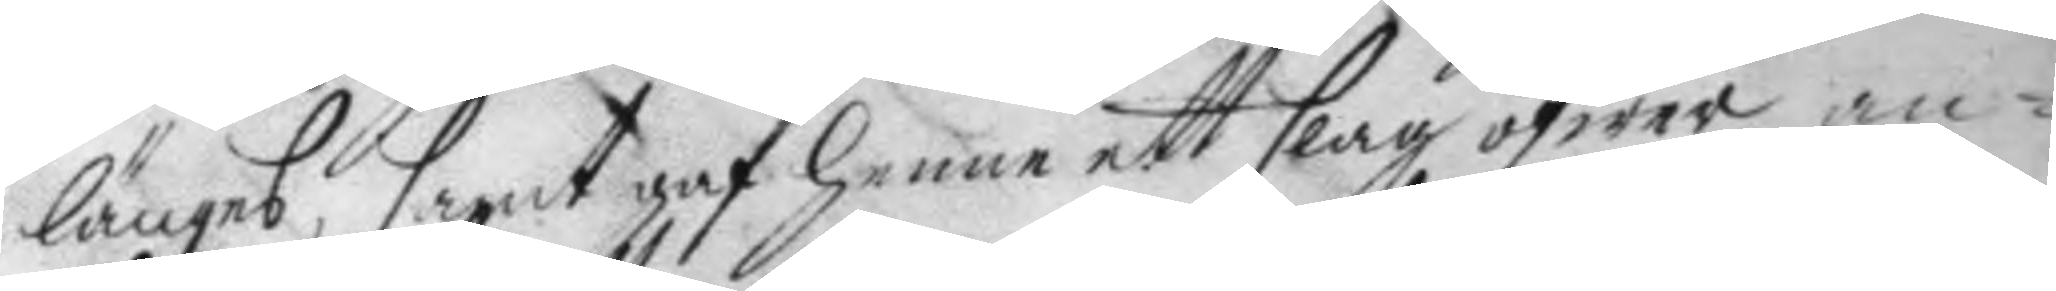länges, samt haf henne ett slag öfwer an¬
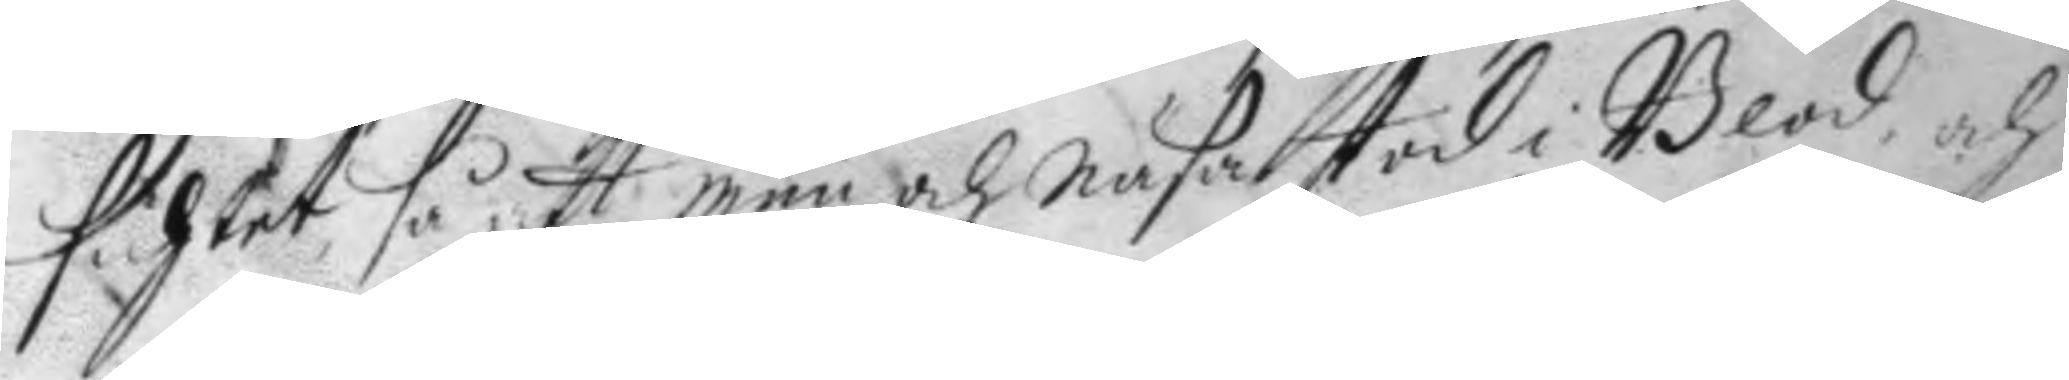sichtet så att mun och näsa stod i Blod, och
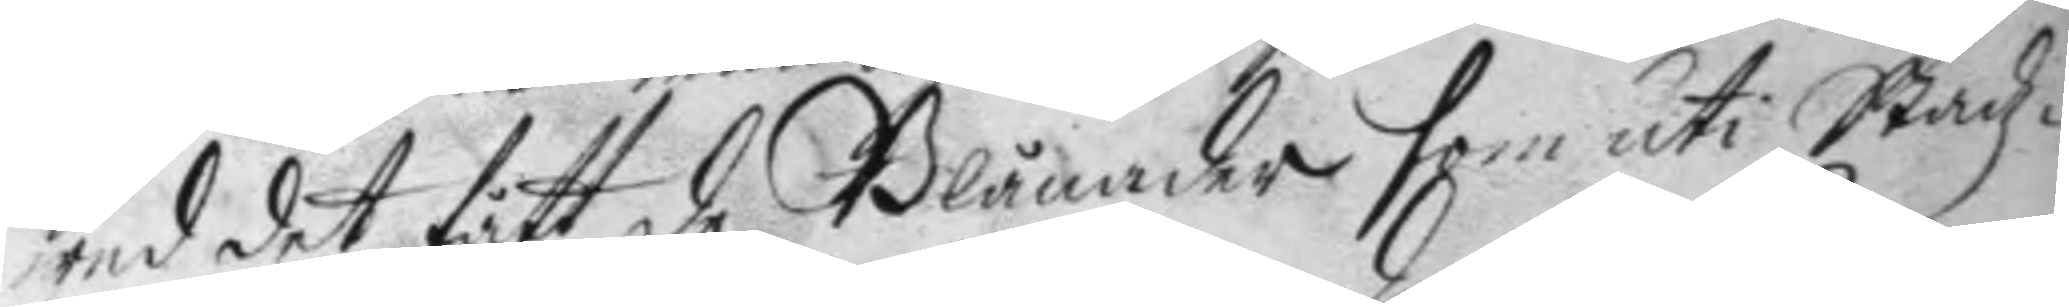wed det fått de Blånader som uti Stadz¬
